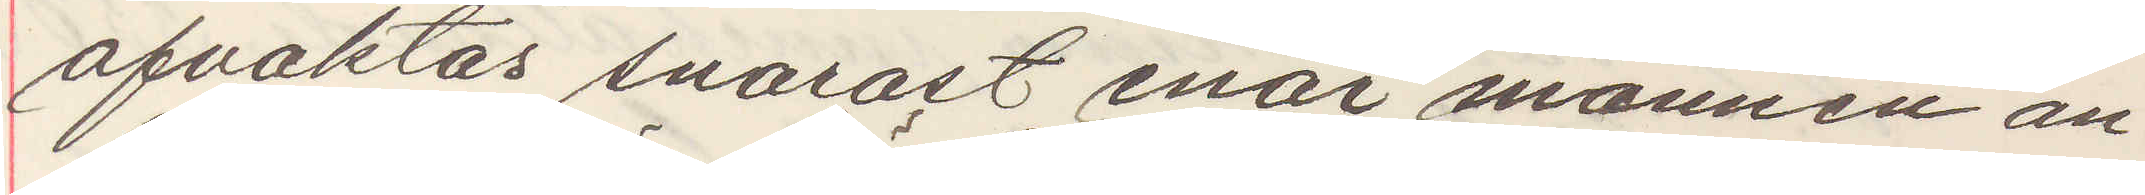afvaktas snarast enär mannen an¬
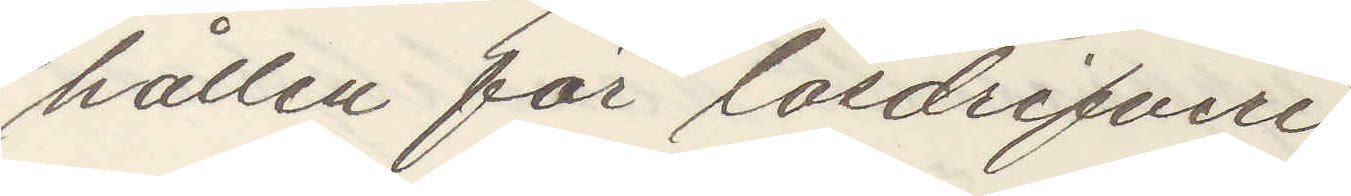hållen för lösdrifveri
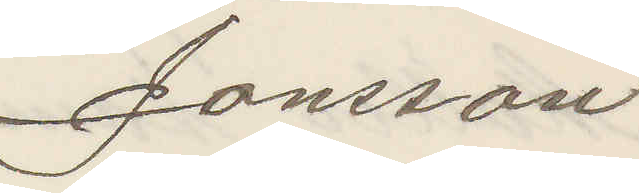Jonsson
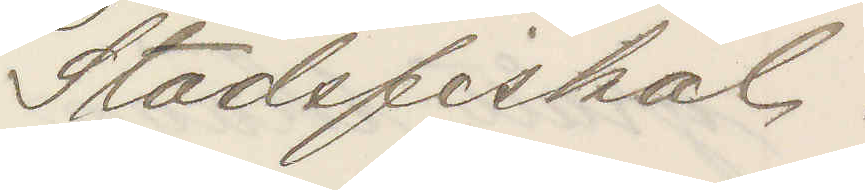Stadsfiskal.
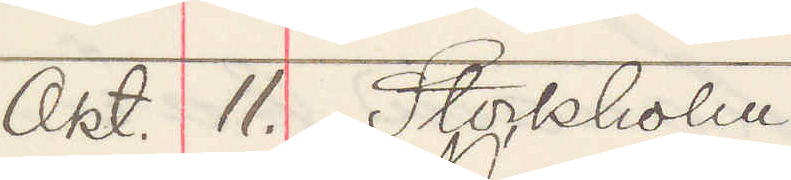Okt. 11. Stockholm.
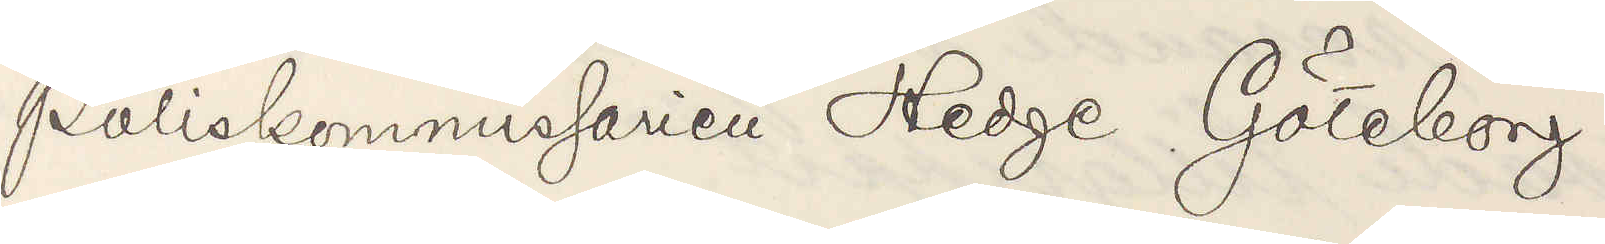Poliskommissarien Hedge Göteborg.
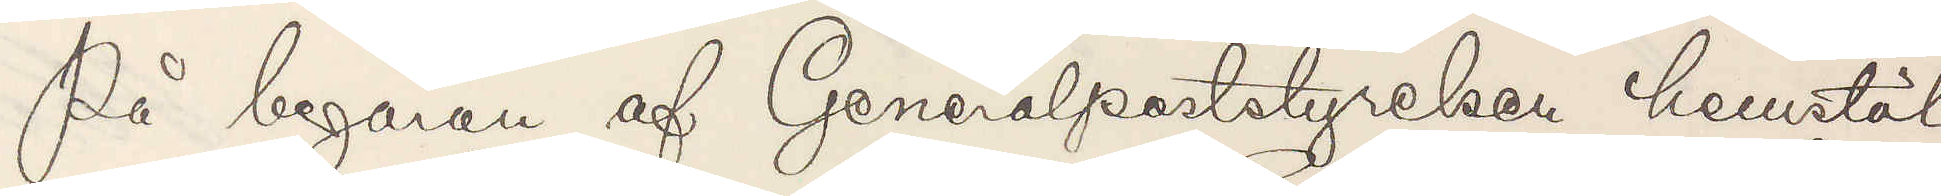På begäran af Generalposttyrelsen hemstäl¬
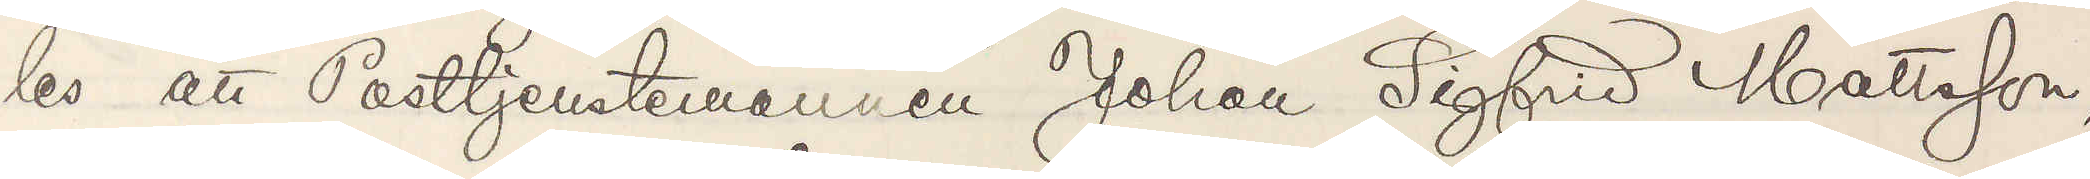les att Posttjenstemannen Johan Sigfrid Mattsson,
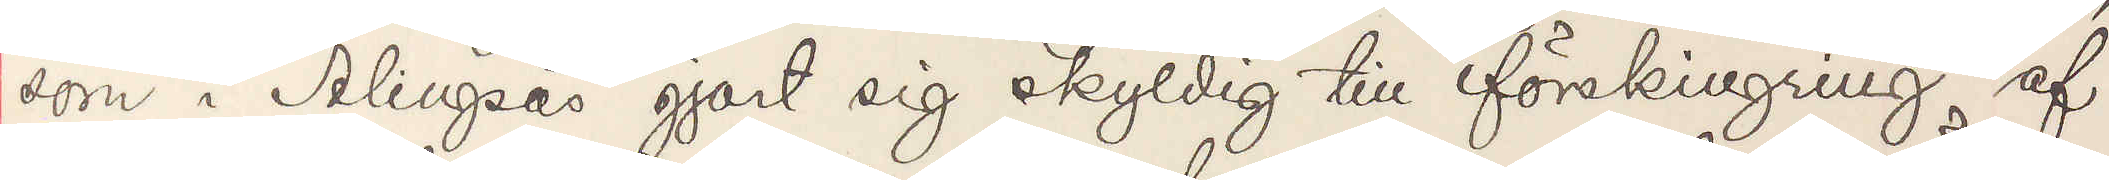som i Alingsås gjort sig skyldig till förskingring af
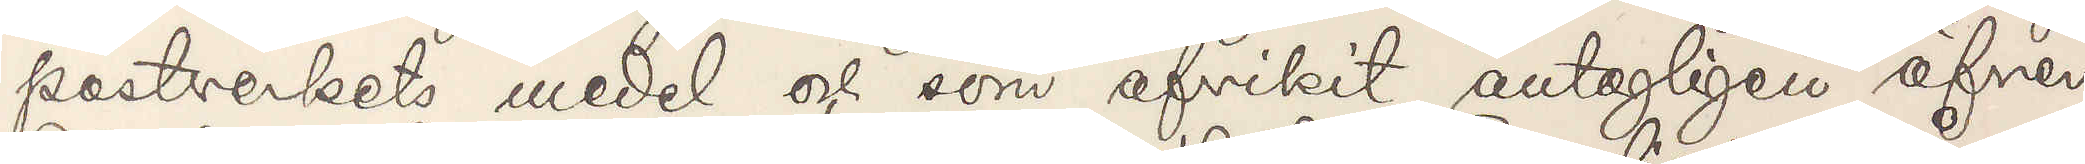postverkets medel och som afvikit antagligen öfver
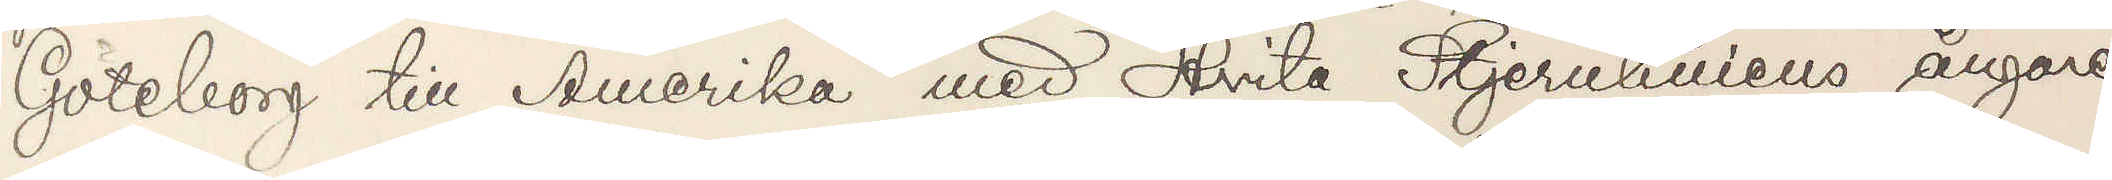Göteborg till Amerika med Hvita Stjernliniens ångare
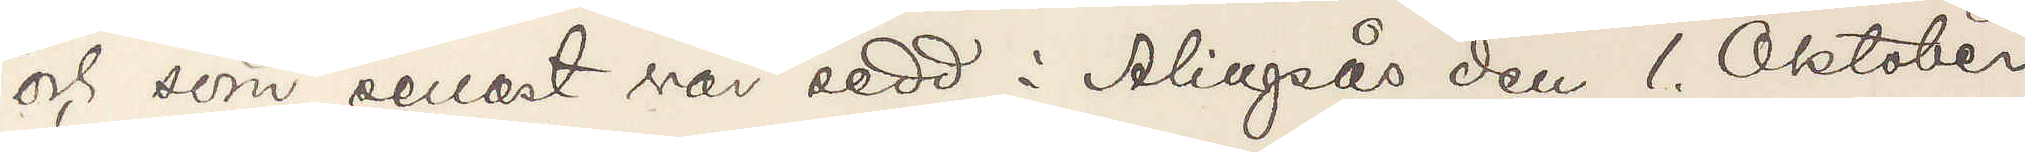och som senast var sedd i Alingsås den 1. Oktober
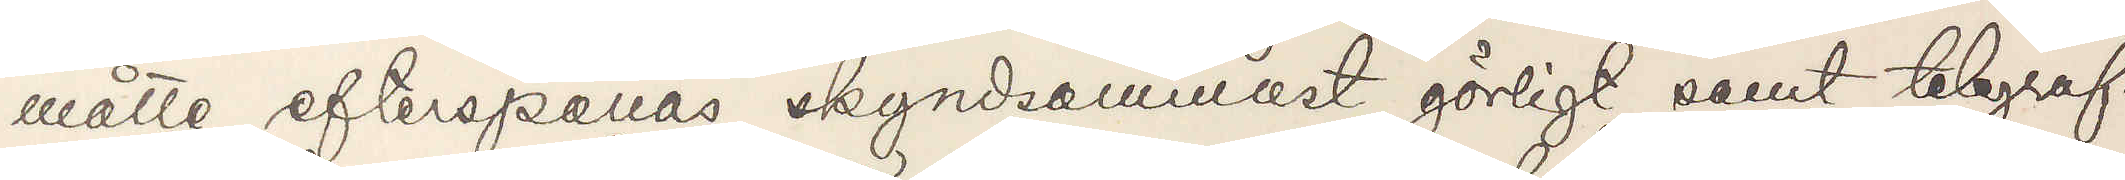måtte efterspanas skyndsammats görligt samt telegraf¬
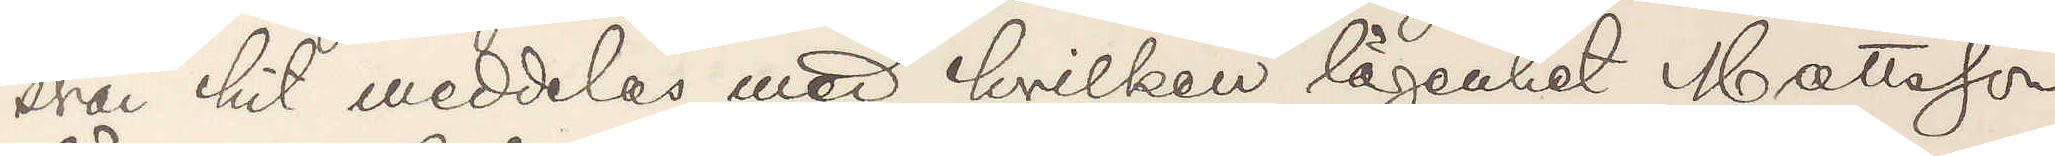svar hit meddela med hvilken lägenhet Mattsson
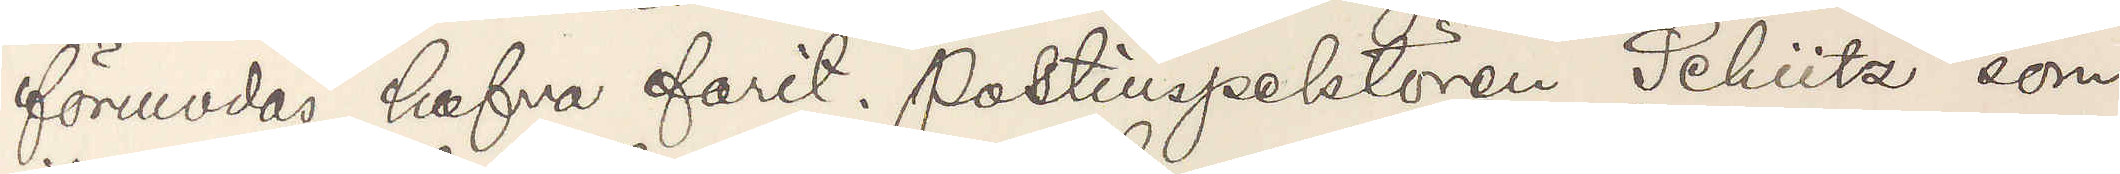förmodas hafva farit. Polisinspektören Schütz som
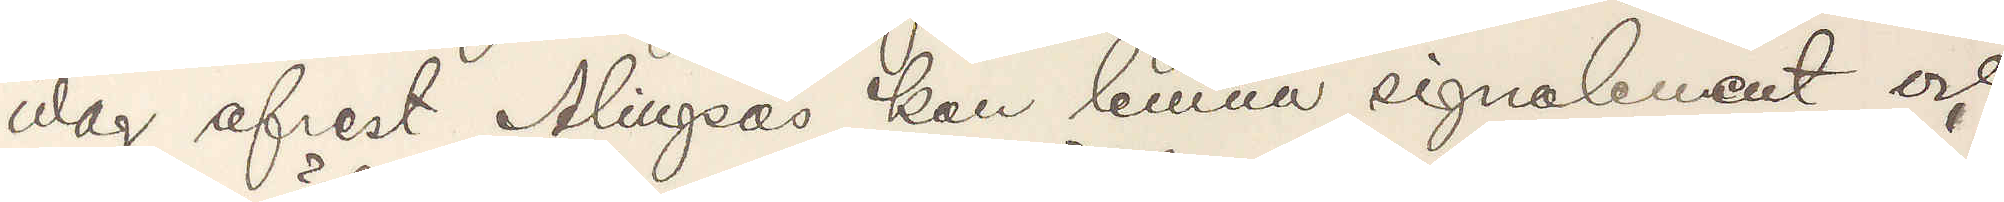idag afrest Alingsås kan lemna signalement och
